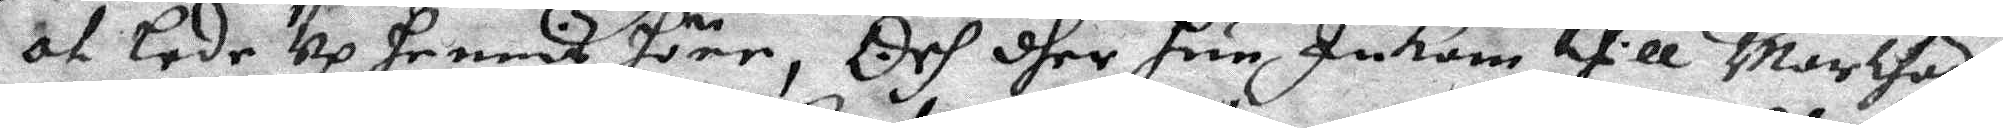at lede up hennis höne, Och dher hun Inkom thill Marthas,
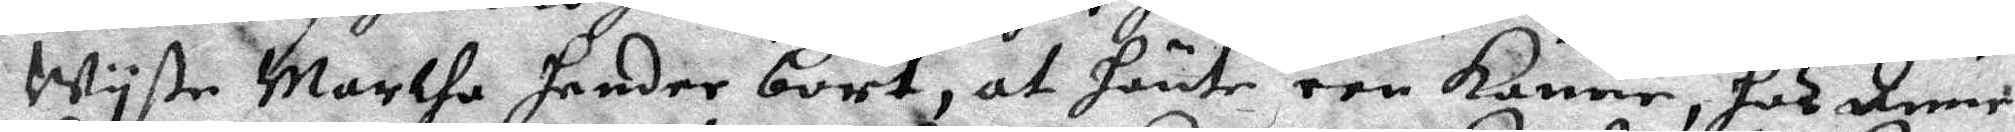Wyste Marthe hender bort, at hänte een kanne, hos Anne
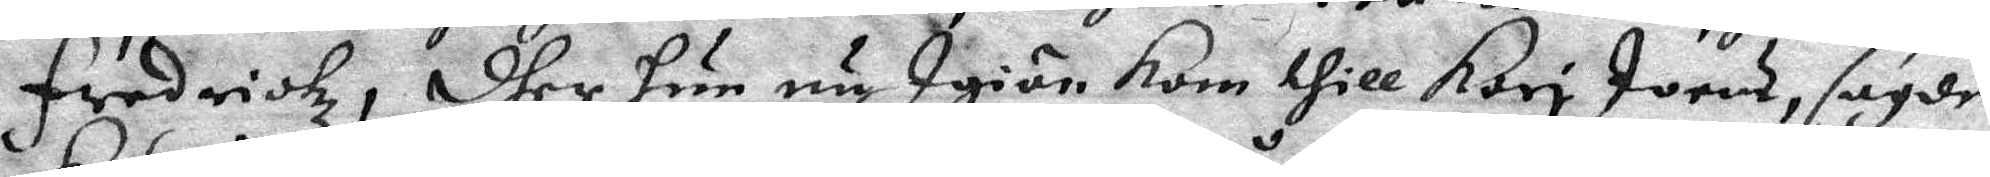fredrickz, dher hun nu Igiän kom till Kari Joens, sagde
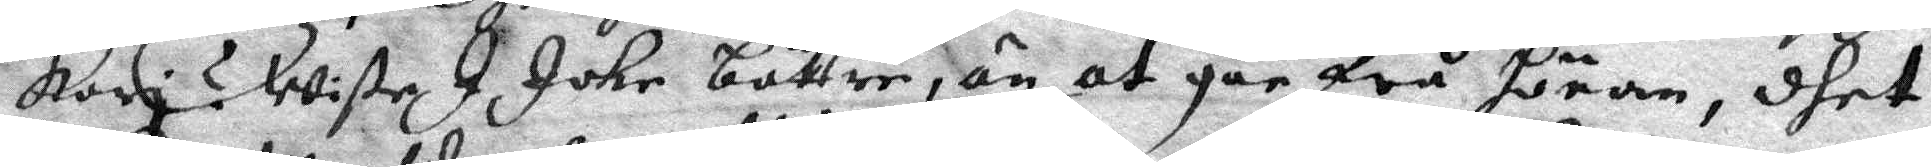Kari ? wiste I Johr bättre, än at går frå hönan, dhet
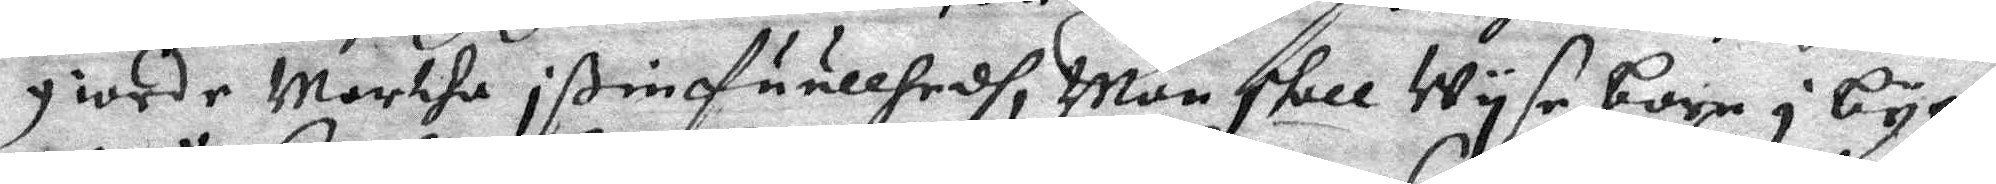giorde Marcta i ßim fuullhedh, Man stall Wyse barn i byen
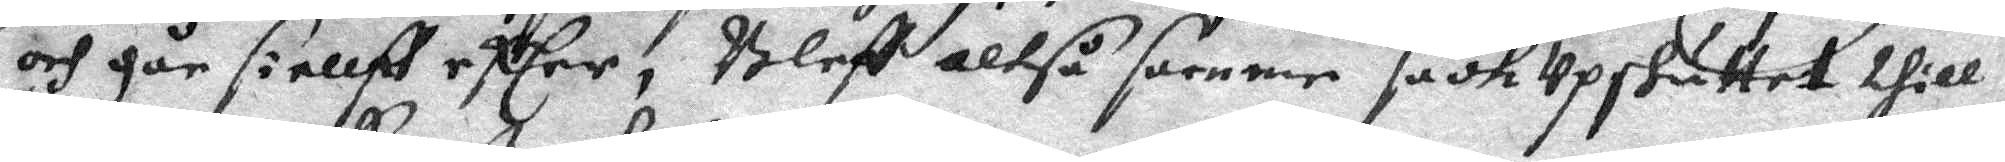och går siellff effter, Bleff altså samme sach Upskuttet thill
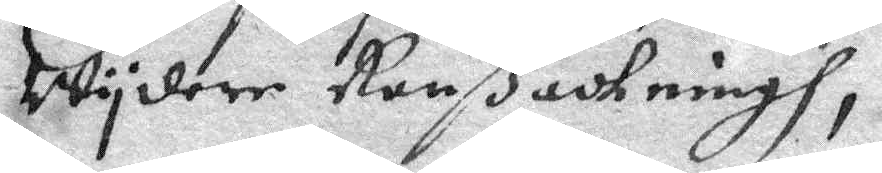Wydare Ranßackningh,
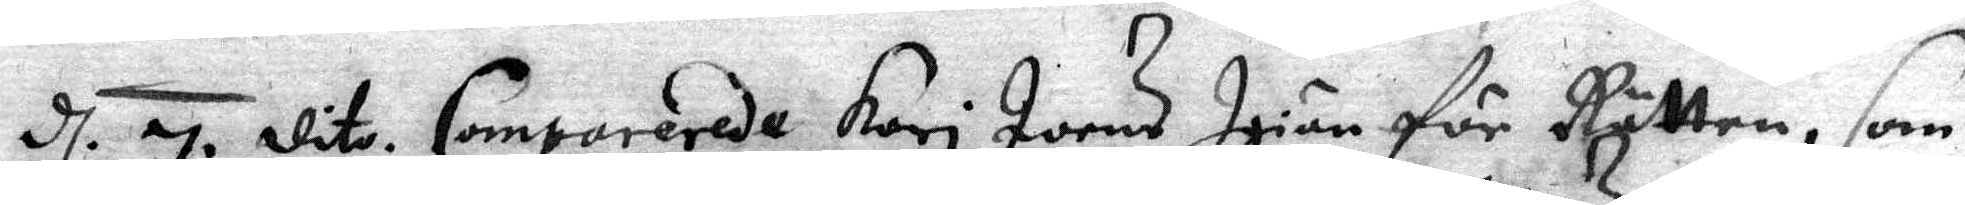d 7. dito. Comparerade Kari Joens Igiän för Rätten, som 
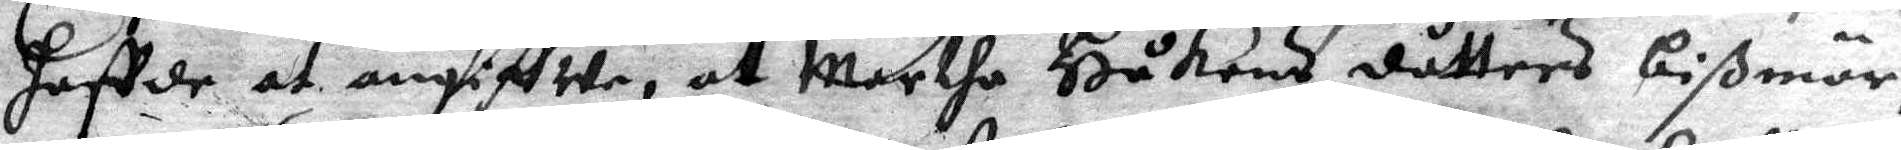haffde at angiffwe, at Marthe Håkens dåtters bißmör,
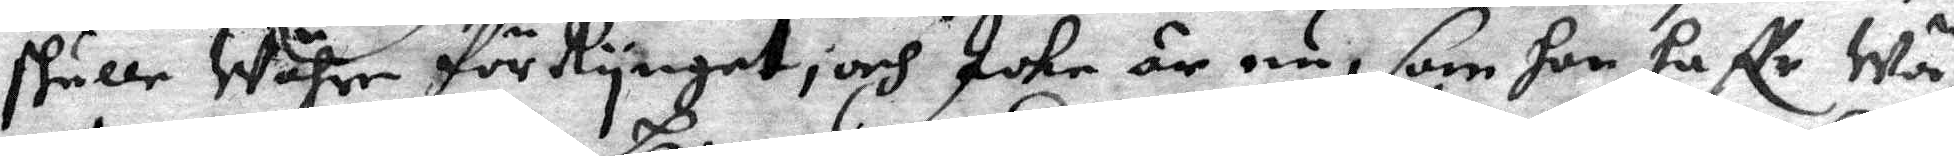skulle Währe förRynget, och Icke är nu, som hon haffr Wä¬
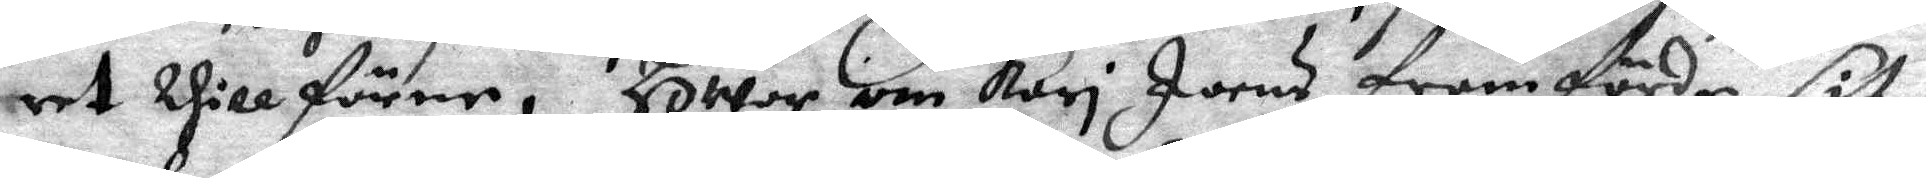ret thill förne, HWor om Kari Joens framförde sit
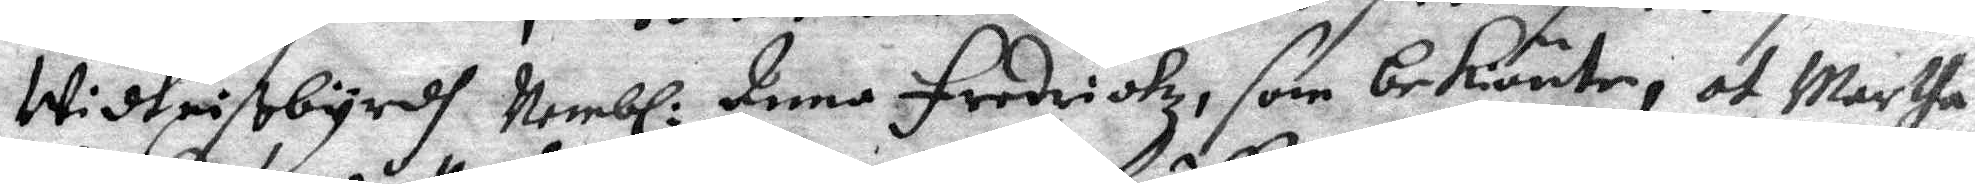Widtnisbyrdh, Nembl: Anna fredrickz, som bekiänte, at Martha 
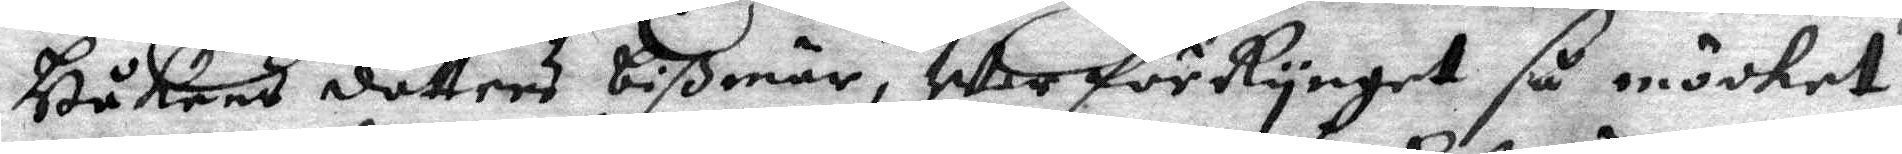Håkens dotters bißmär, war för Rynget så möcket
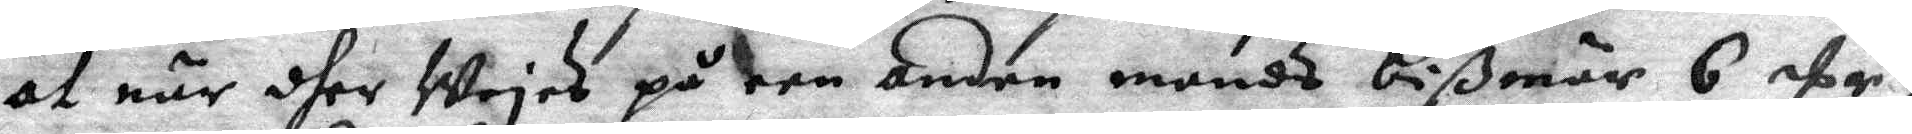at när dher Wejes på een anden mands bißmär 6 Er,
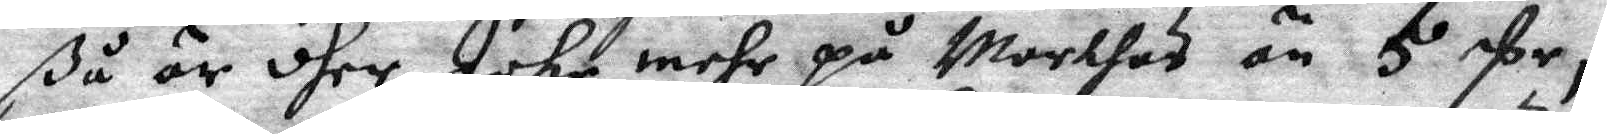så är dher Icke mehr på Marthas än 5 Er,
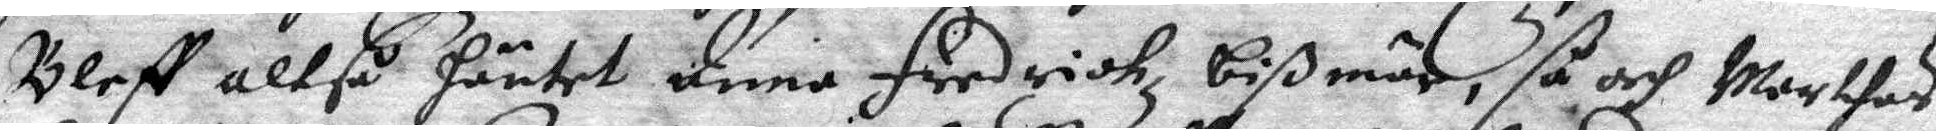Bleff altså häntet Anna fredrichz bißmär, så och Marthas
